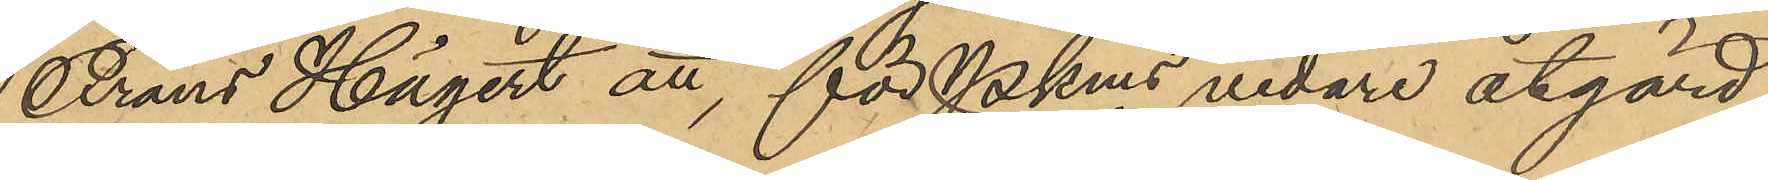Frans Hägert att, för PKms vidare åtgärd,
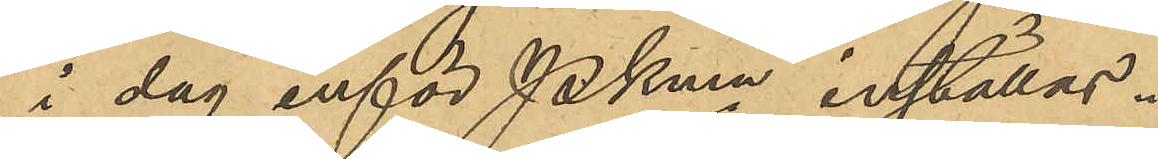i dag inför Pkmn inställas.
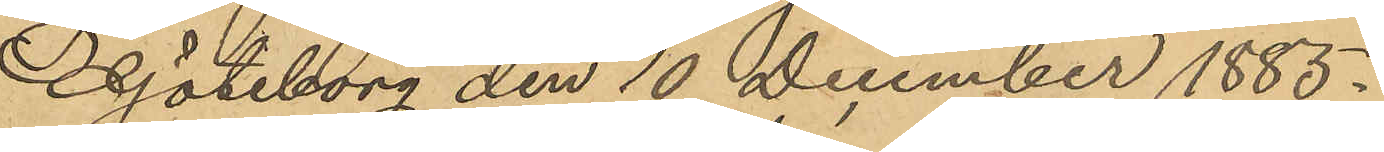Göteborg den 10 December 1885.
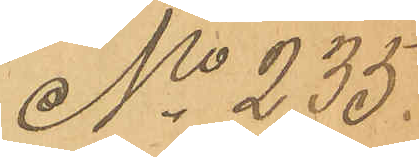No 235.
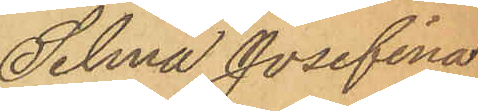Selma Josefina
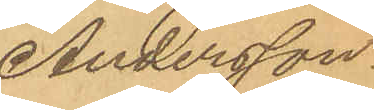Andersson.
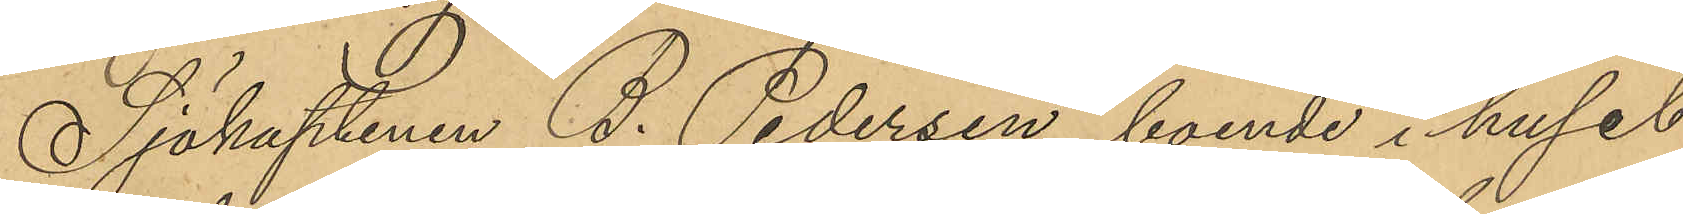Sjökaptenen B. Pedersen, boende i huset
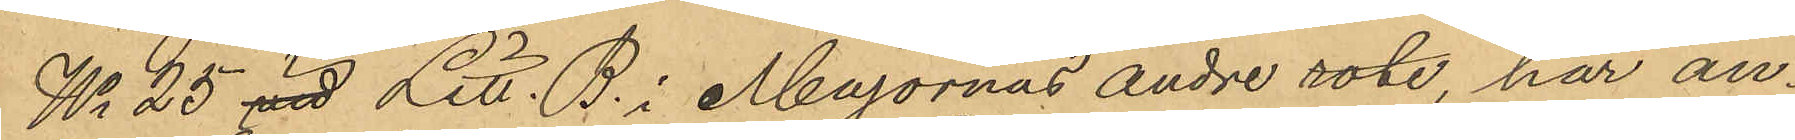No 25 vid Litt. B. i Majornas andre rote, har an¬
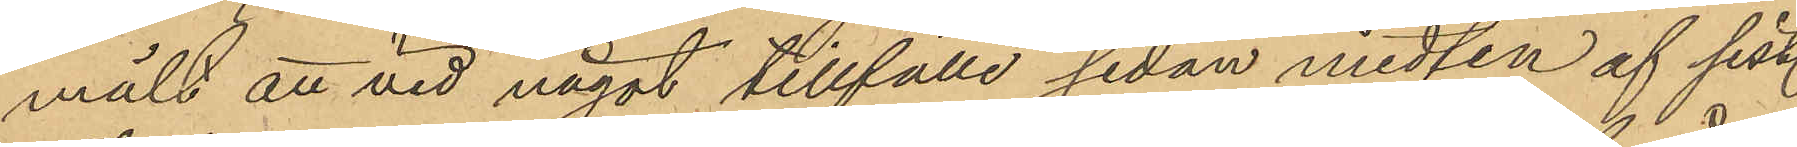mält att vid något tillfälle sedan midten af sist.
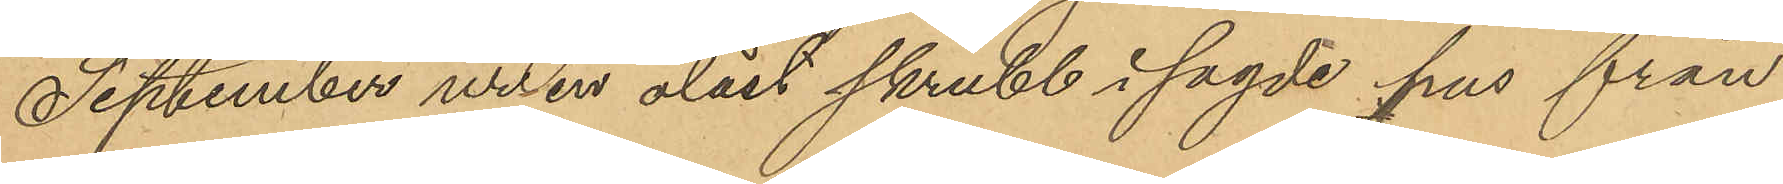September ur en olåst skrubb i sagde hus från
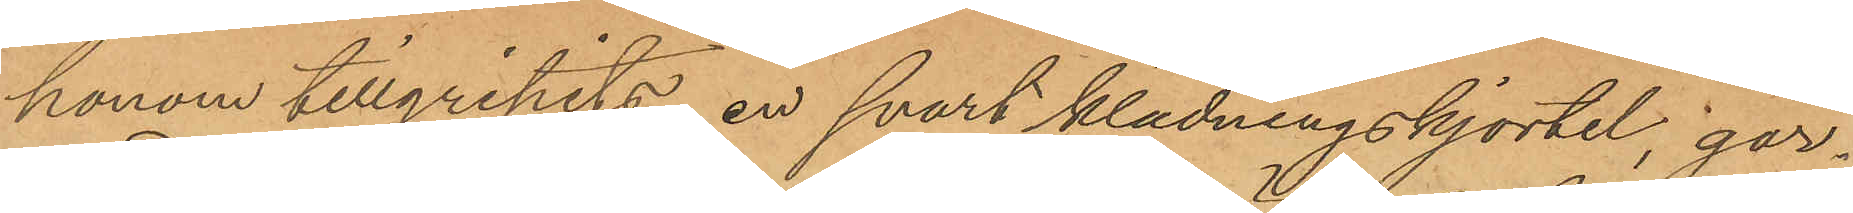honom tillgripits, en svart klädningskjortel gar¬
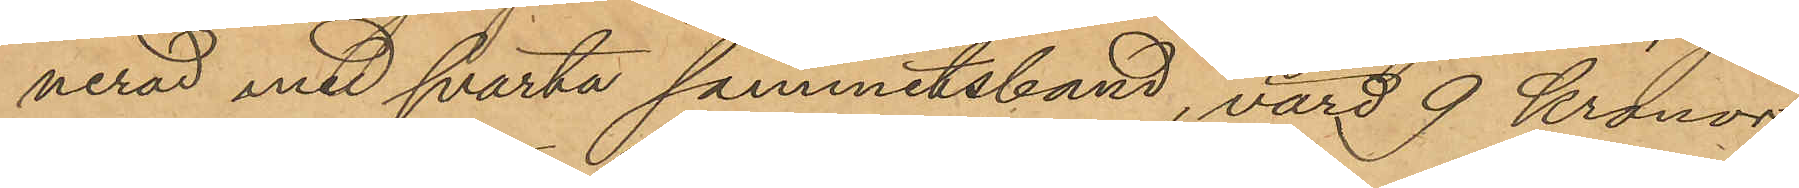nerad med svarta sammetsband, värd 9 Kronor,
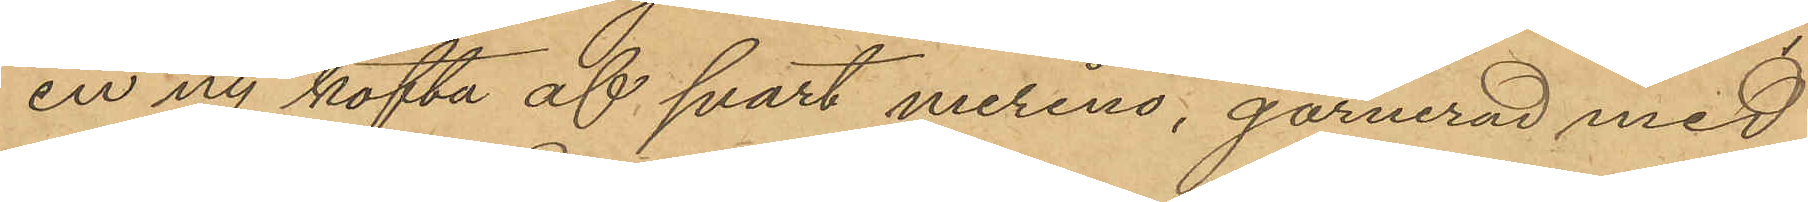en ny kofta af svart merino, garnerad med
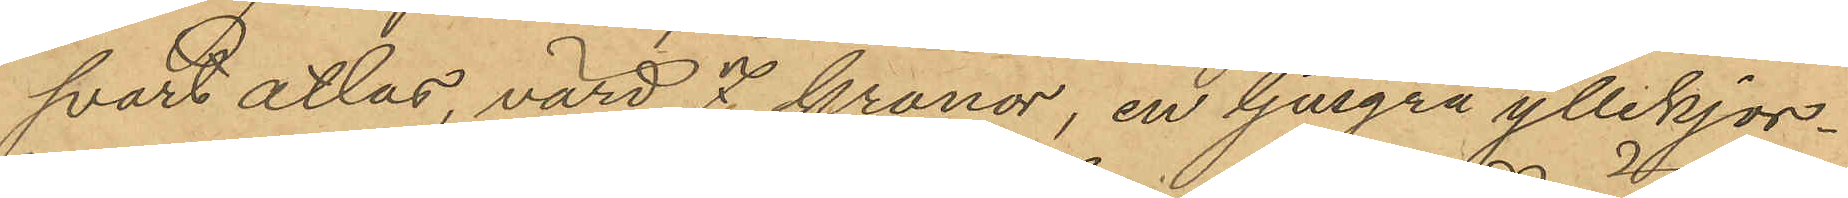svart atlas, värd 7 kronor, en ljusgrå yllekjor¬
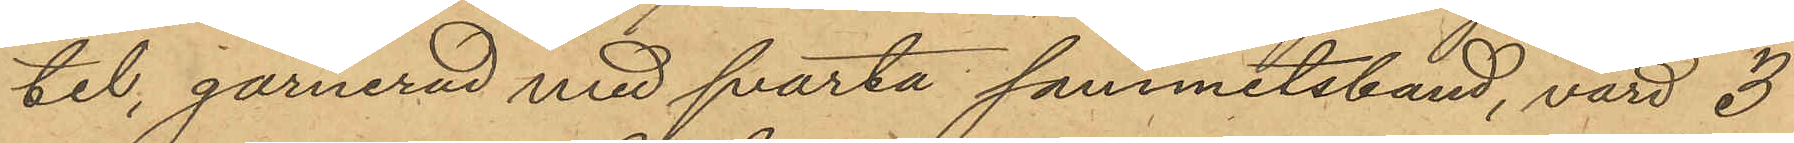tel, garnerad med svarta sammetsband, värd 3
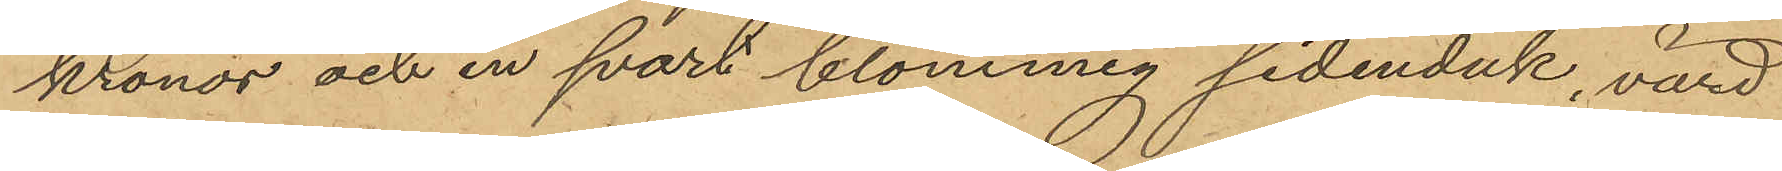kronor och en svart blommig sidenduk, värd
